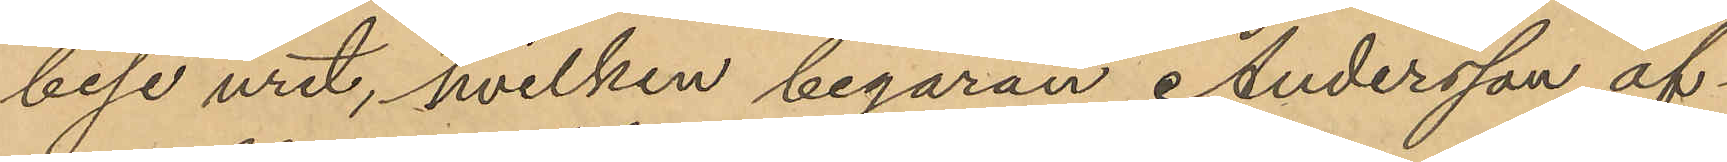bese uret, hvilken begäran Andersson äf¬
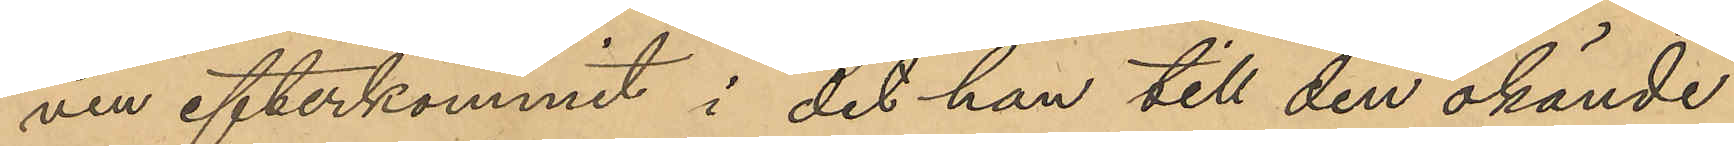ven efterkommit i det han till den okände
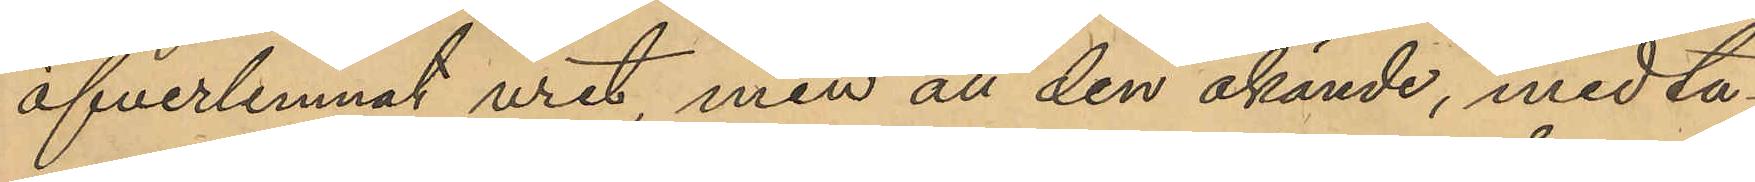öfverlemnat uret, men att den okände, medta¬
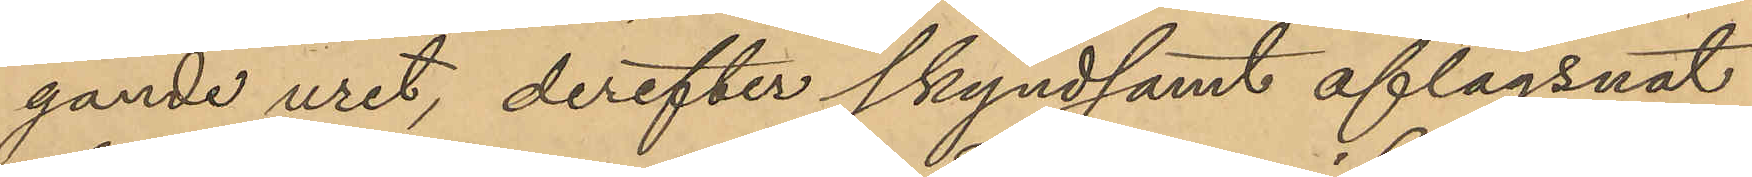gande uret, derefter skyndsamt aflägsnat
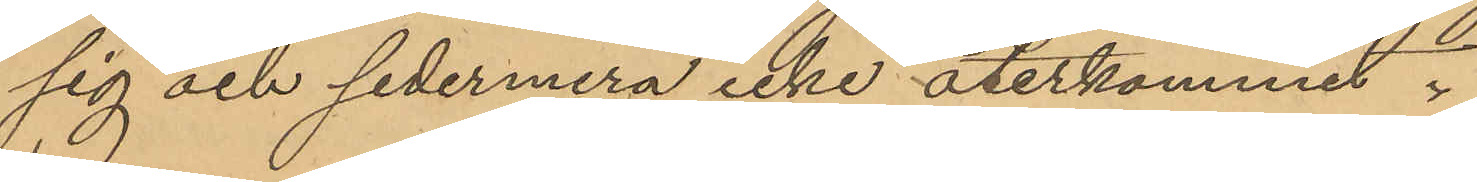sig och sedermera icke återkommit.
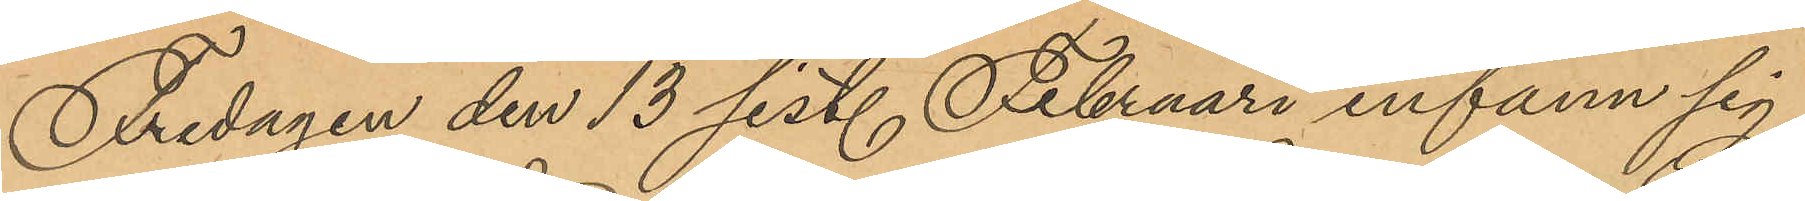Fredagen den 13 sist. Februari infann sig
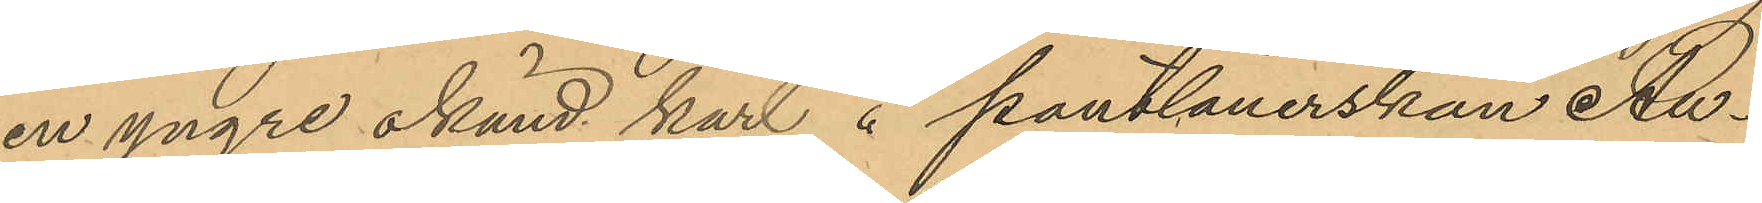en yngre okänd karl å pantlånerskan Au¬
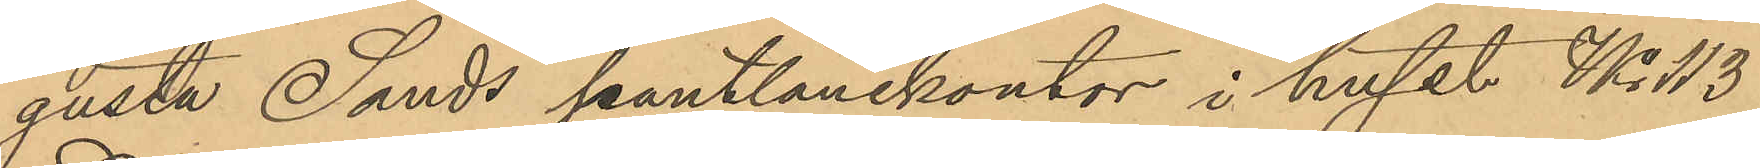gusta Sands pantlånekontor i huset No 113
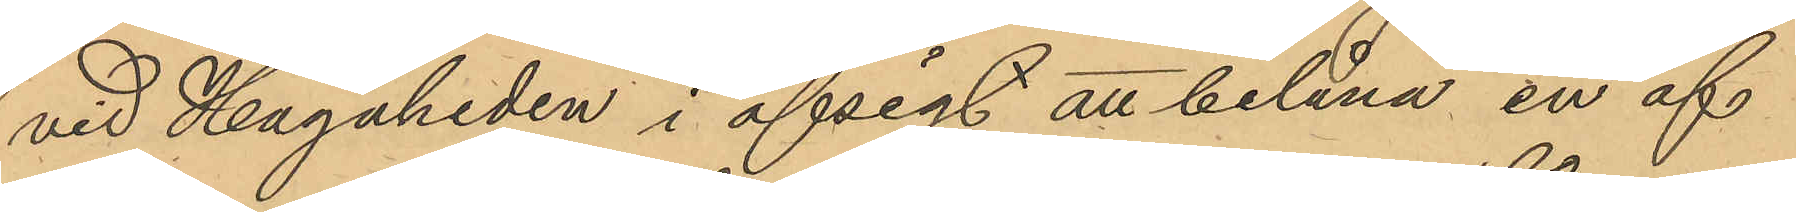vid Hagaheden i afsigt att belåna en af
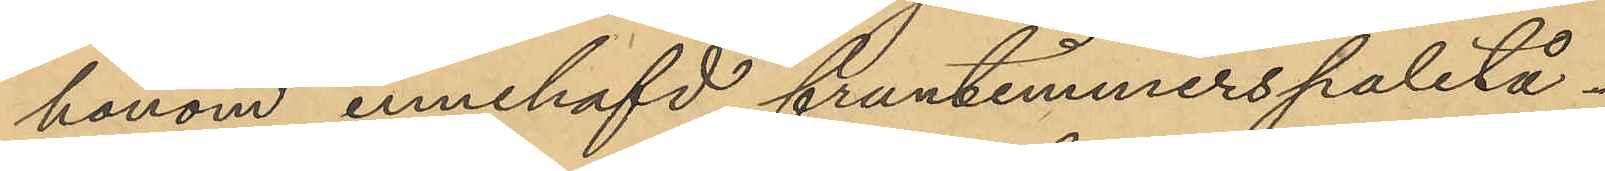honom innehafd fruntimmerspaletå.
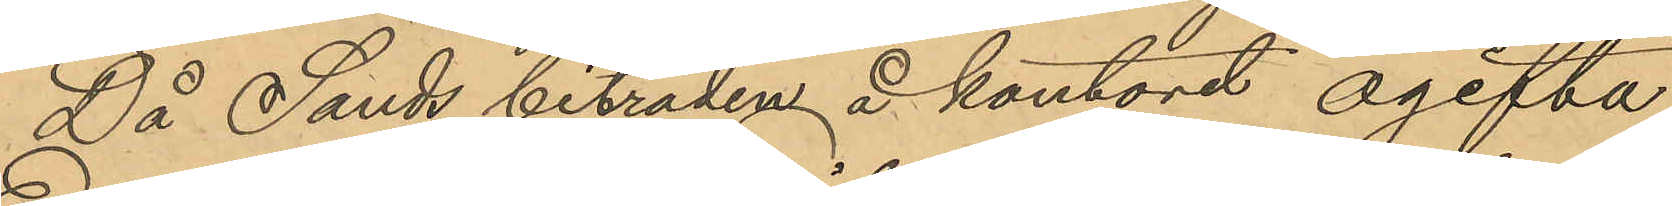Då Sands biträden å kontoret ogifta
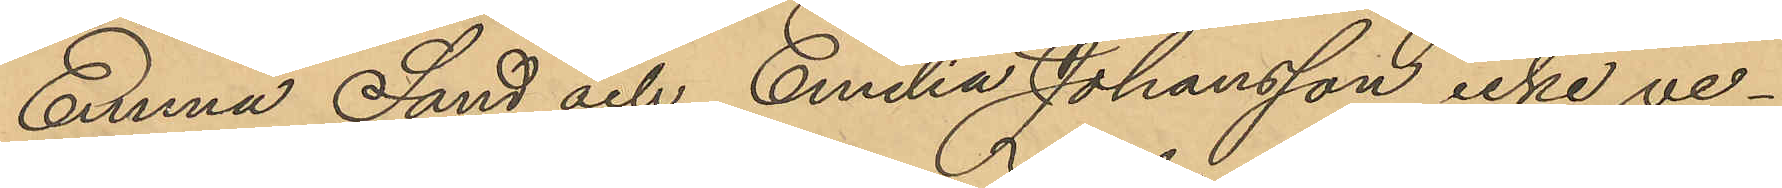Emma Sand och Emilia Johansson icke ve¬
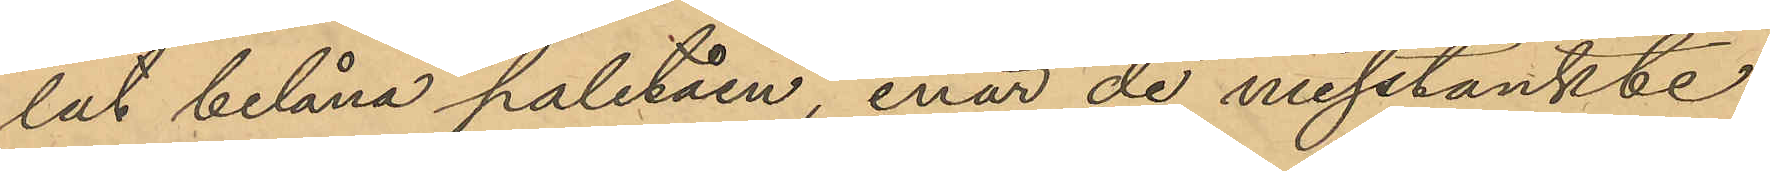lat belåna paletåen, enär de misstänkte
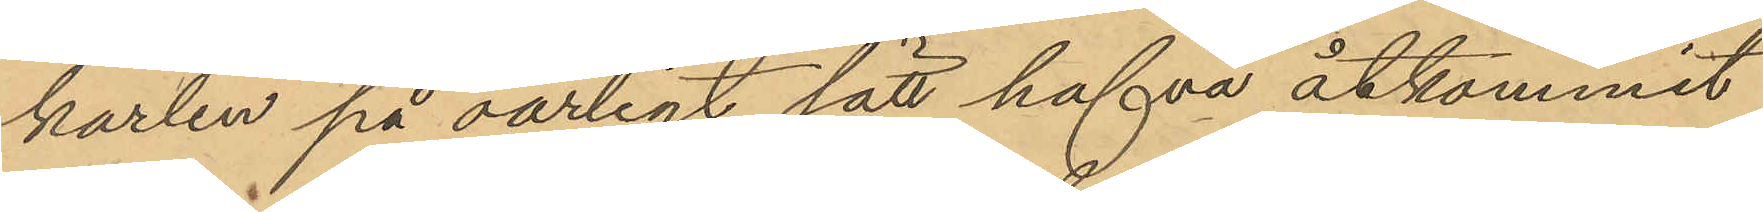karlen på oärligt sätt hafva åtkommit
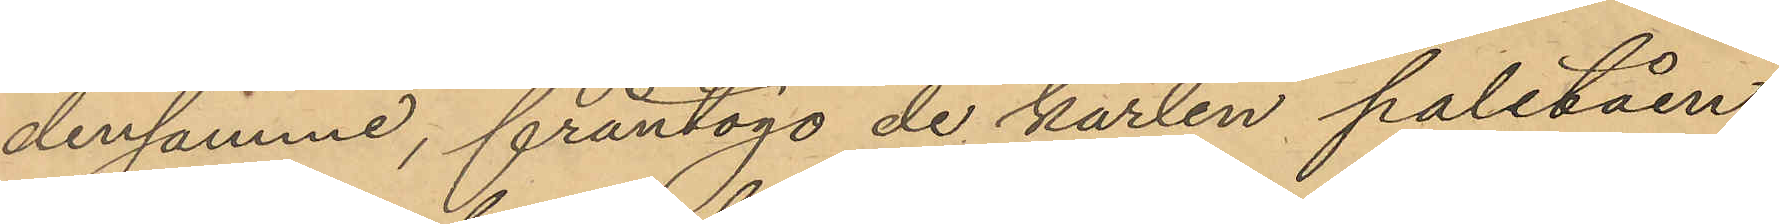densamme, fråntogo de karlen paletåen,
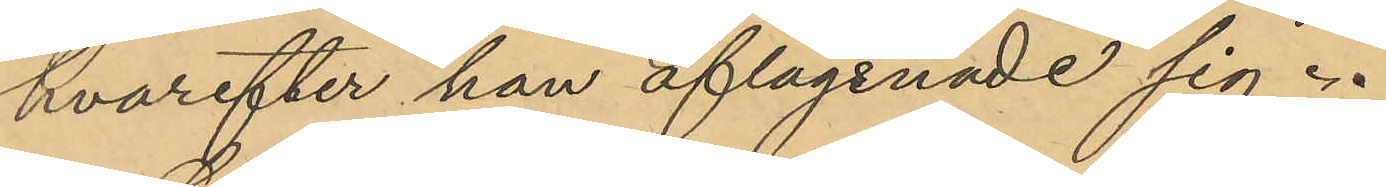hvarefter han aflägsnade sig.
